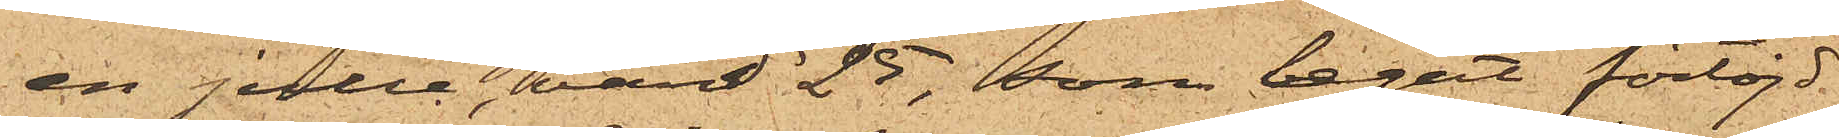en julle, värd 25, som legat förtöjd
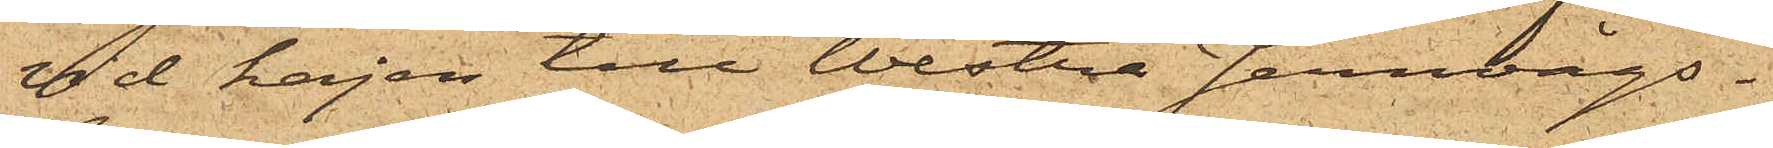vid kajen till Westra Jernvågs¬
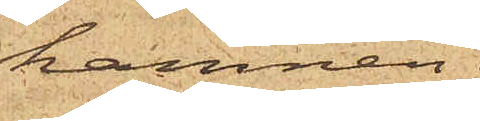hamnen.
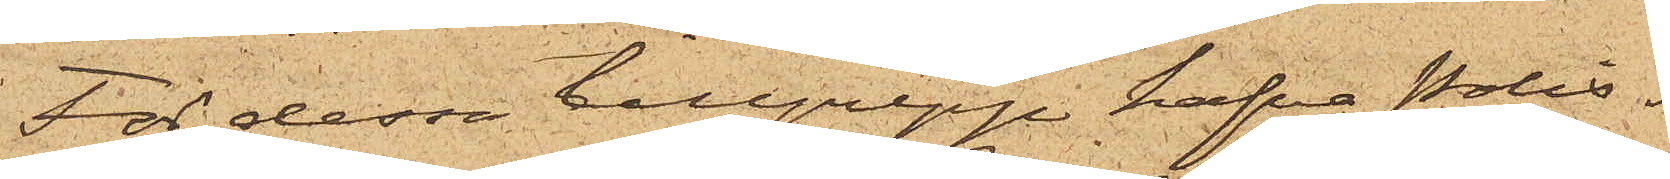För dessa tillgrepp hafva Polis¬
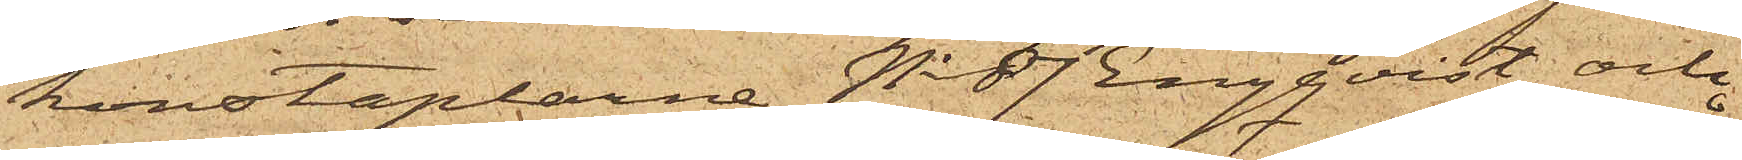konstaplarne No 87 Engqvist och
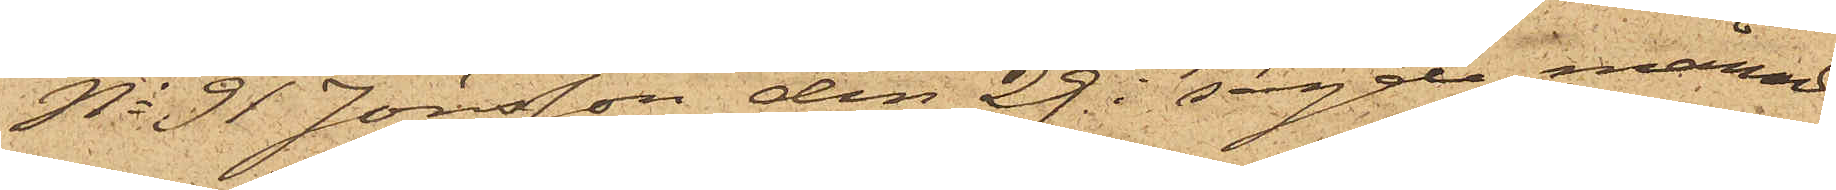No 91 Jönsson den 29 i sagde månad
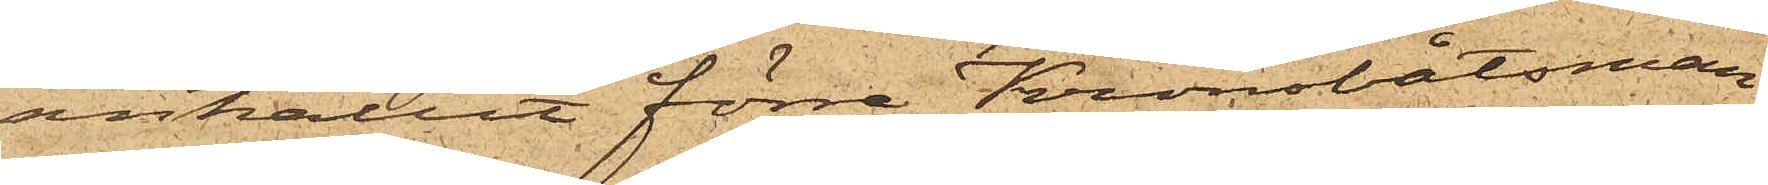anhållit förre Kronobåtsman¬
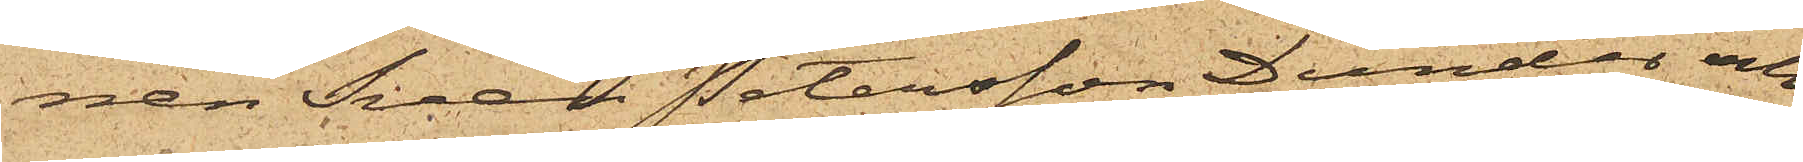nen Sven Petersson Dunder och
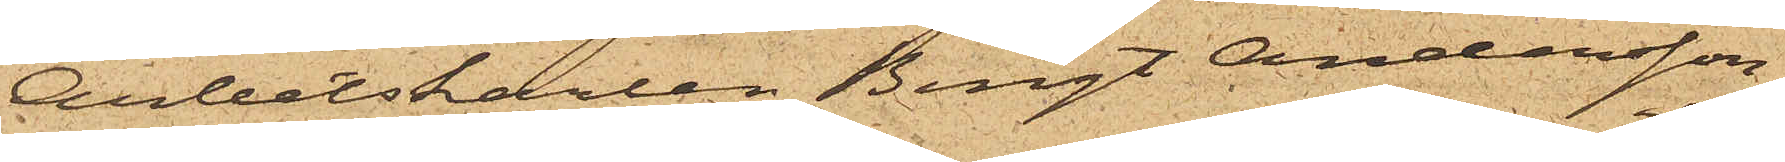Arbetskarlen Bengt Andersson,
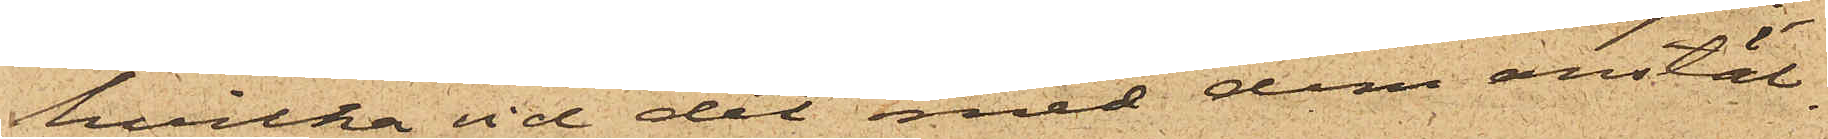hvilka vid det med dem anstäl¬
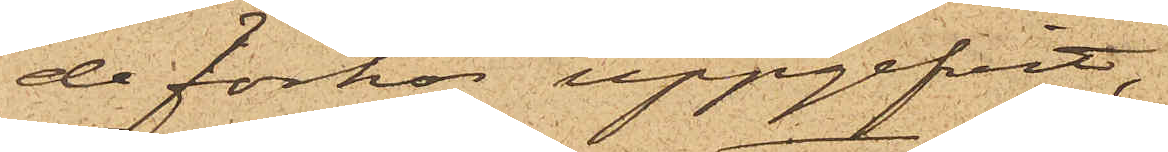de förhör uppgifvit,
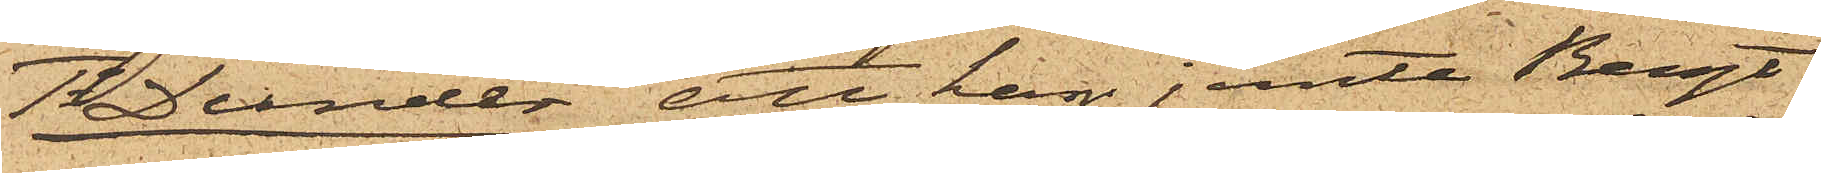1o Dunder att han jemte Bengt
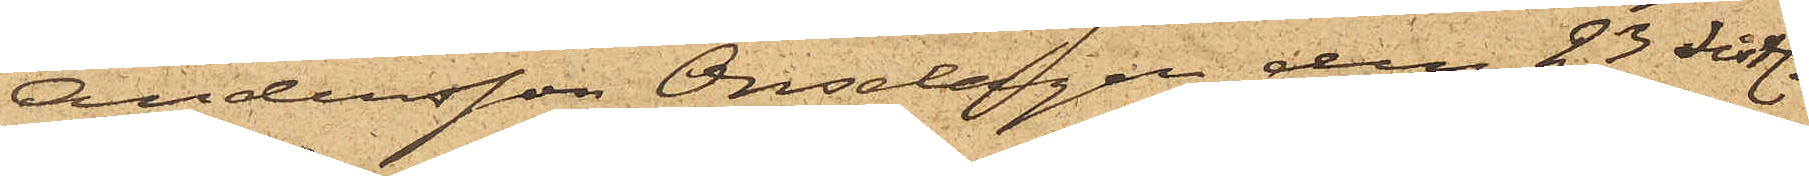Andersson Onsdagen den 23 sistl.
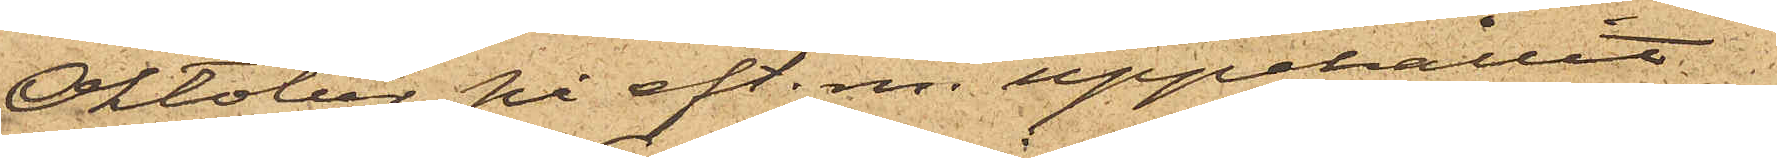Oktober på eft. m. uppehållit
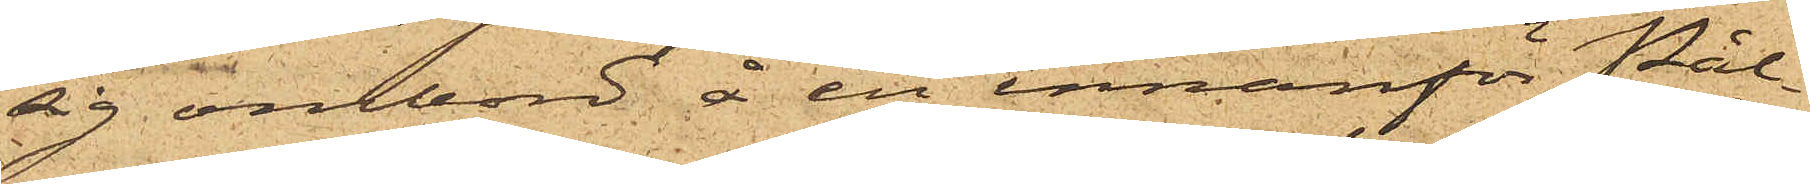sig ombord å en innanför Pål¬
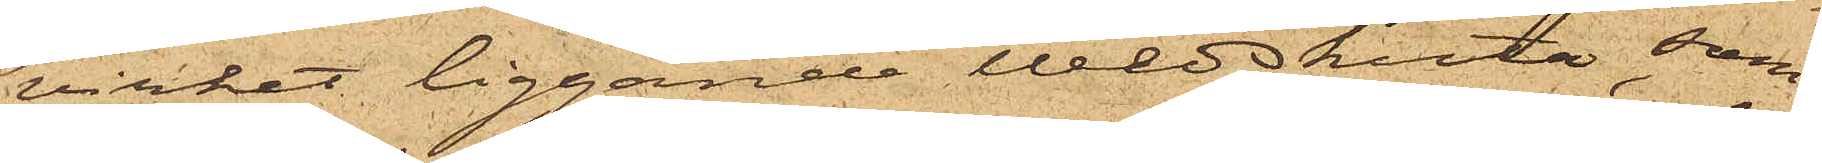verket liggande Wedskuta, som
